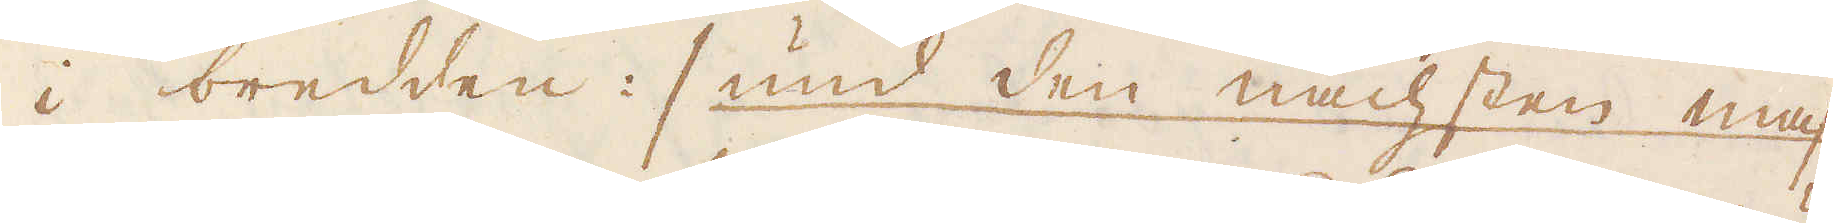i bredden :/ und den nächsten mas-
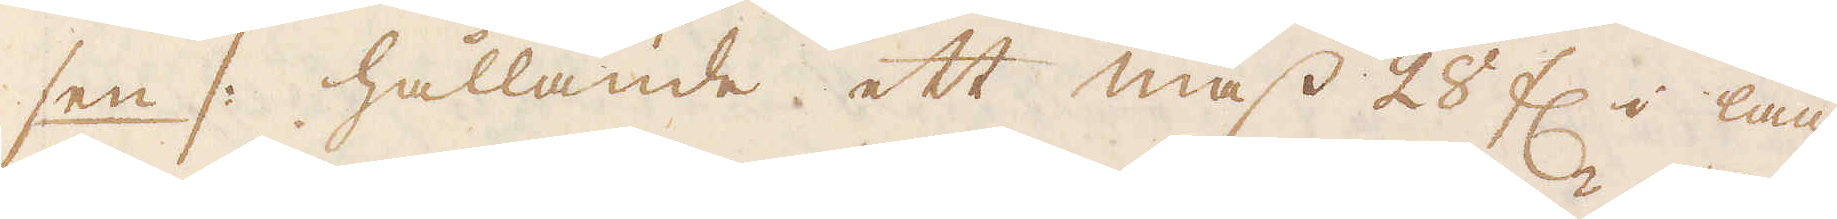sen /: hållande ett mass 28 f:r i läng-
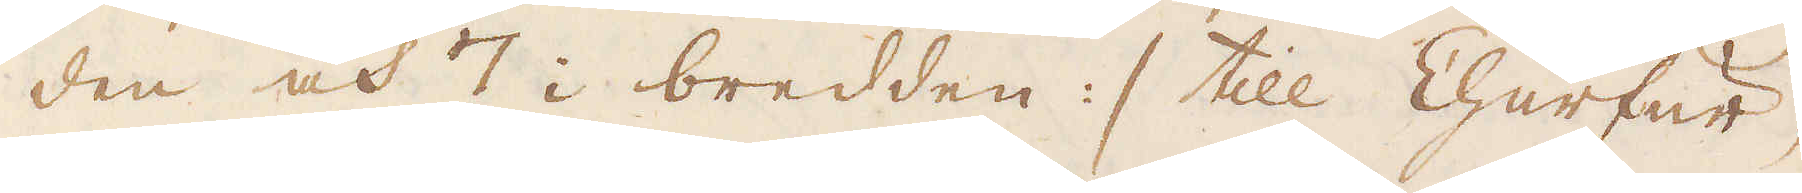den och 7 i bredden :/ till Churfur-
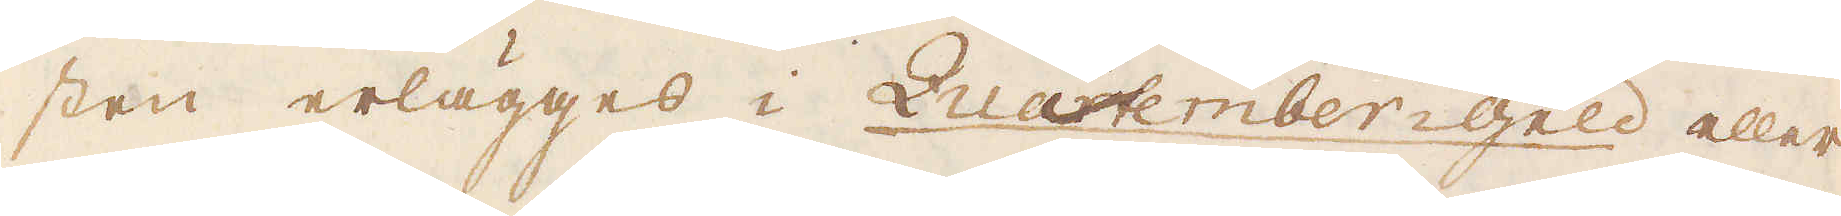sten erlägges i Quatember-geld eller
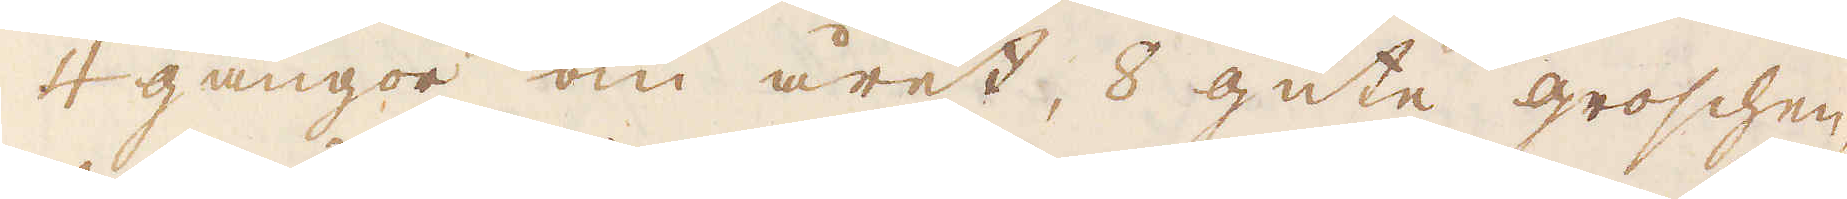4 gångor om året, 8 gute groschen,
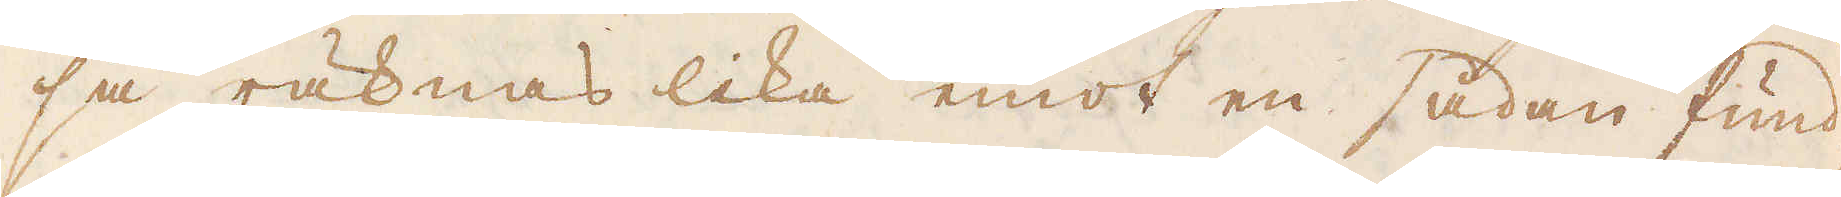så räknas lika emot en sådan fund-
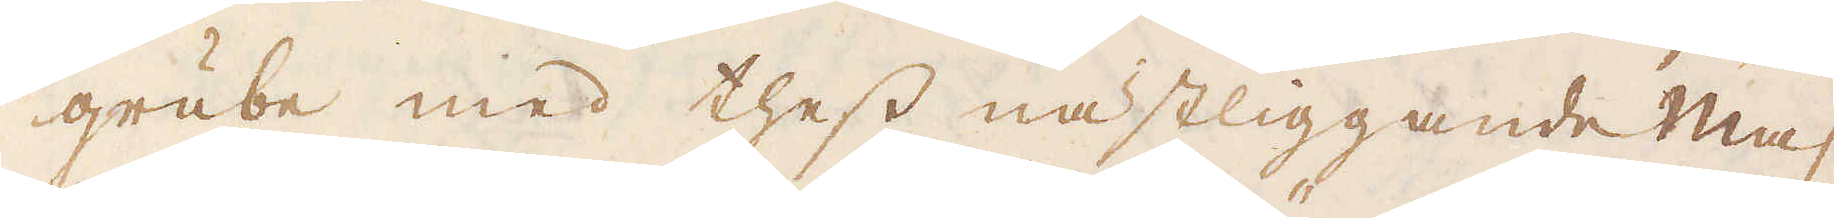grube med thess nästliggande mas-
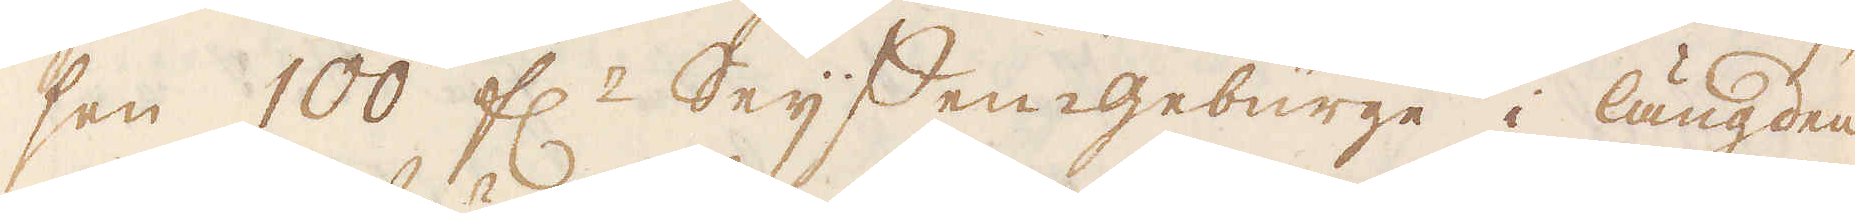sen 100 f:r Seijffen-gebürge i längden
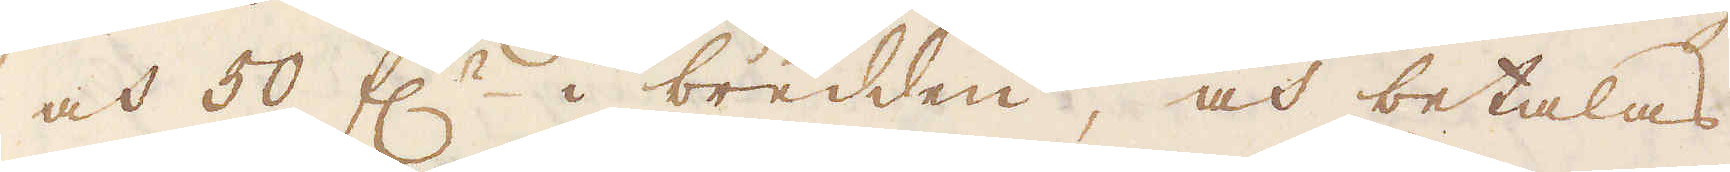och 50 f:r i bredden, och betalas
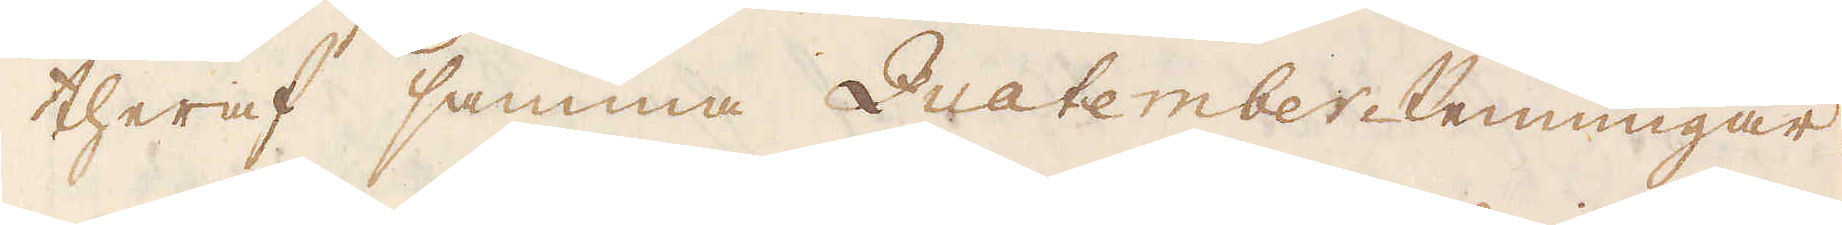theraf samma Quatember-Penningar.
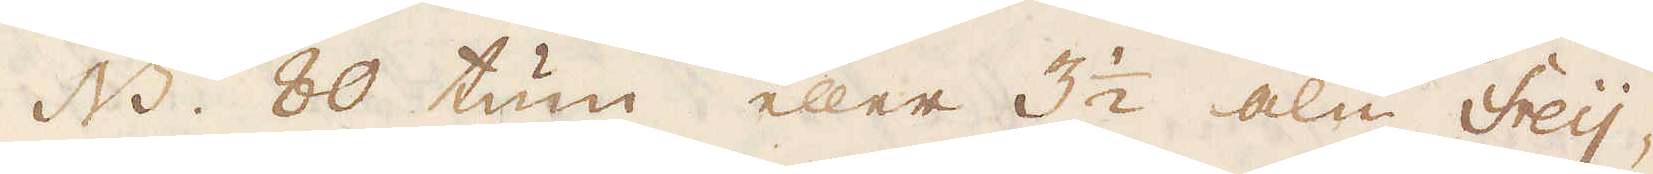NB. 80 tum eller 3 1/2 aln Freij-
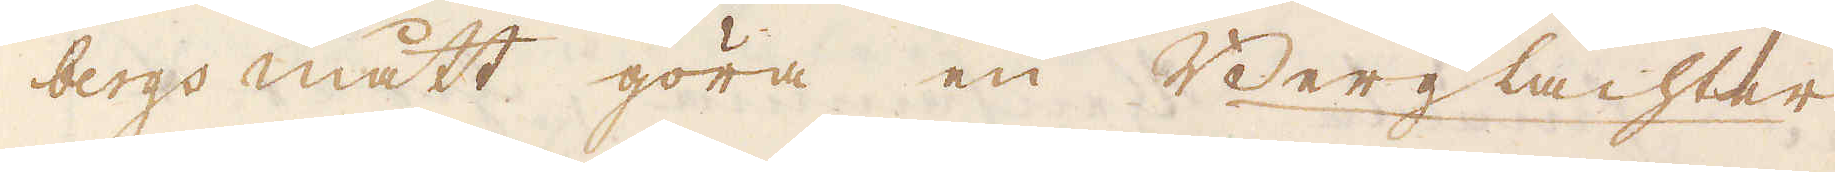bergs mått göra en Berglachter
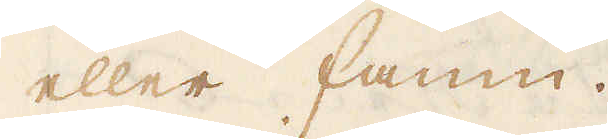eller famn.
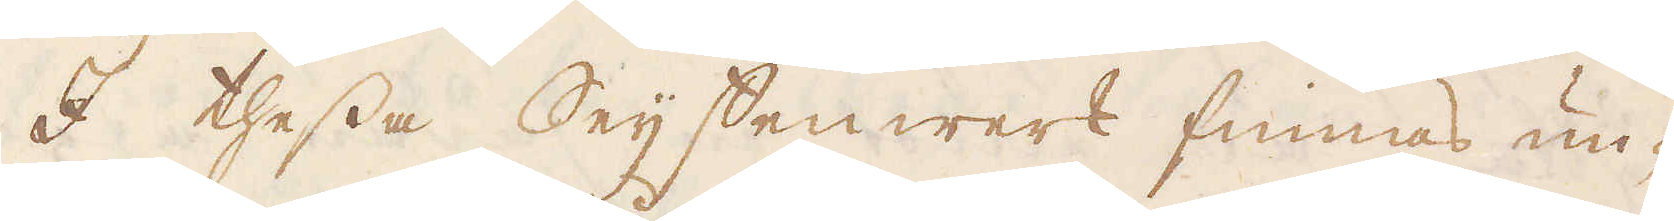I thessa Seijffenwerk finnas un-
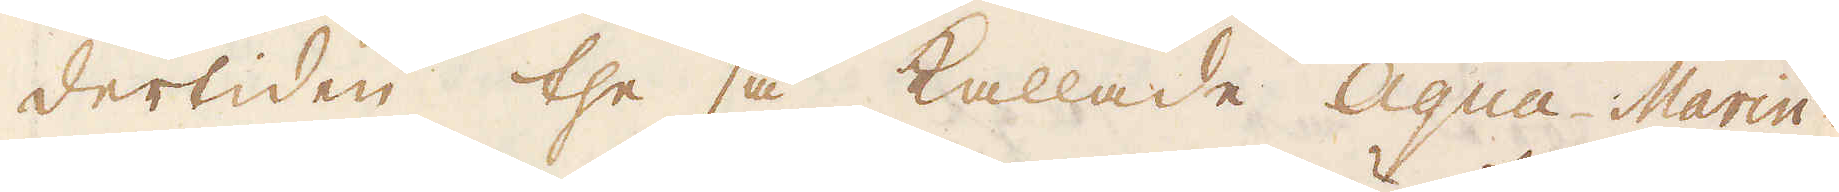dertiden the så kallade Aqua-Marin-
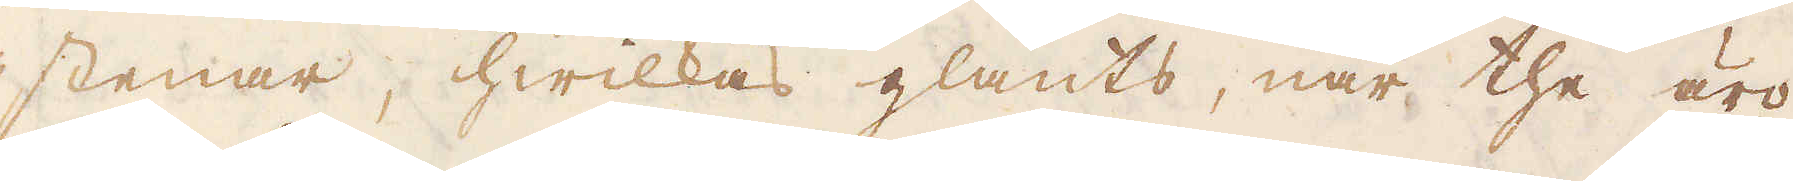stenar, hwilkas glants, när the äro
